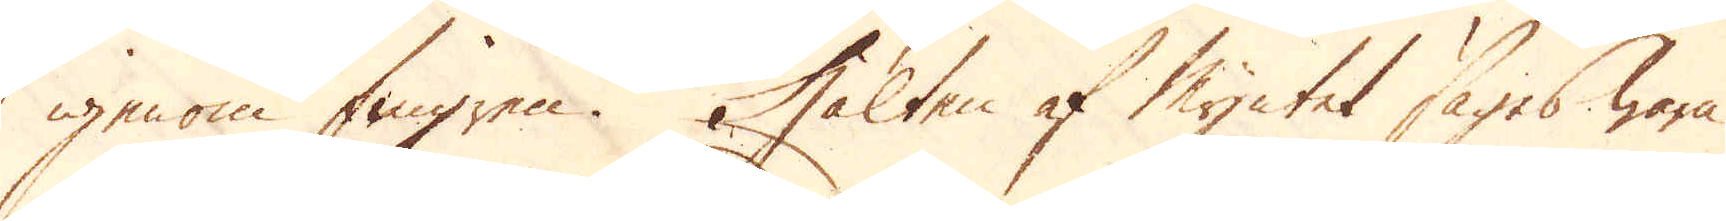igenom fingren. Hälten af Myntet säges wara
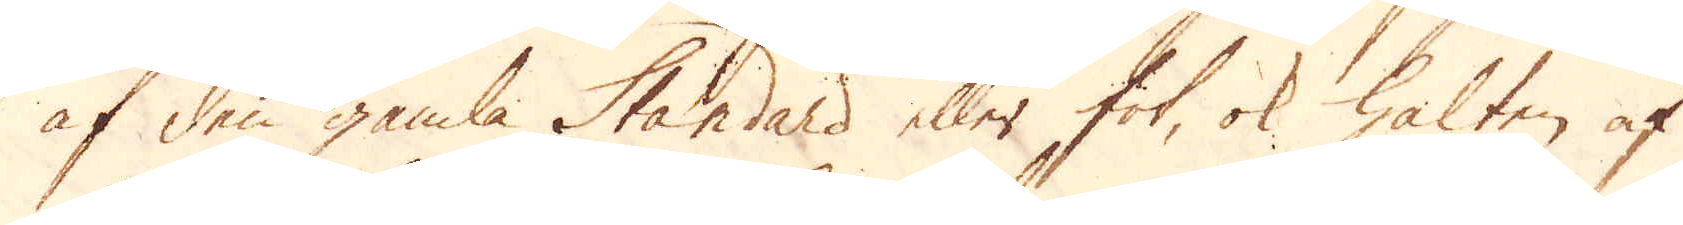af den gamla Standard eller fot, ok halten af
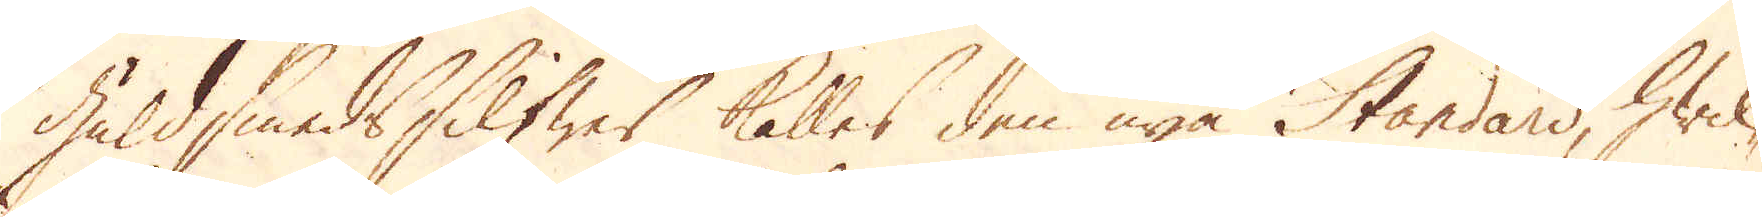Guldsmeds Silfwer kalles den nya Standard, hwil-
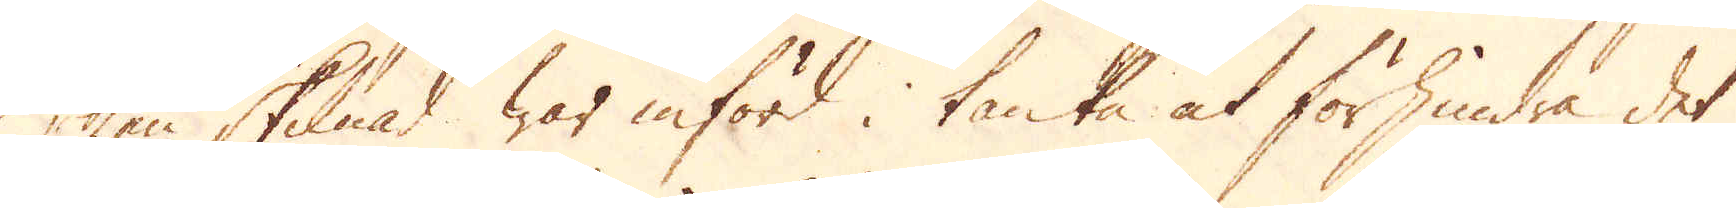ken skilnad war införd i tanke at förhindra det
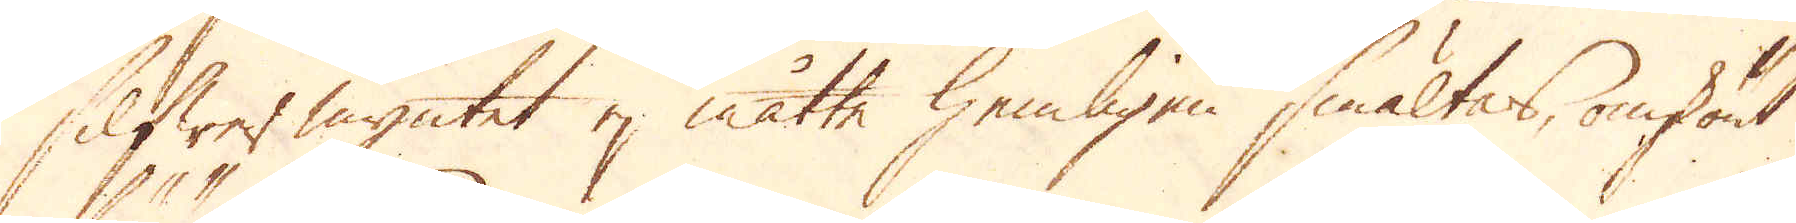Silfwer myntet ej måtte hemligen smältas, omskönt
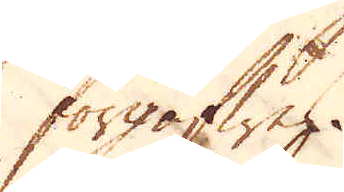förgäfwes.
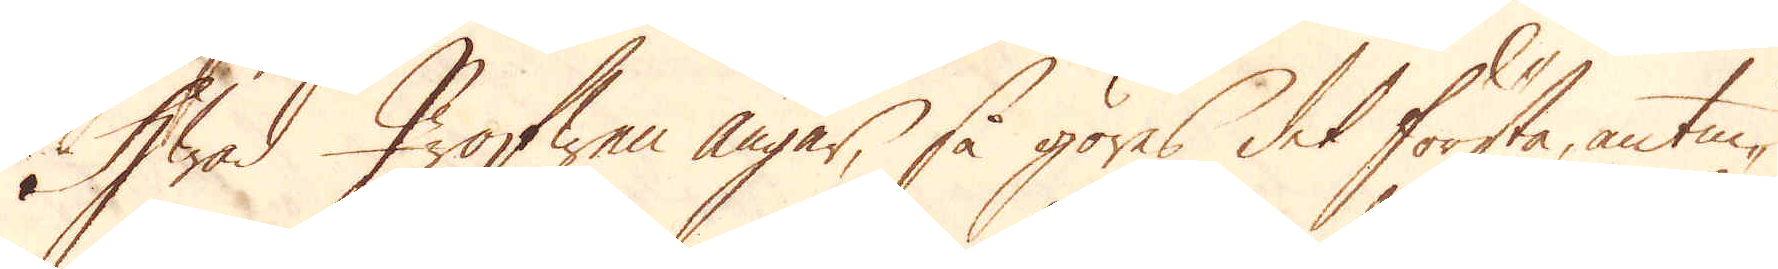Hwad Profwen angår, så göres det första, antin-
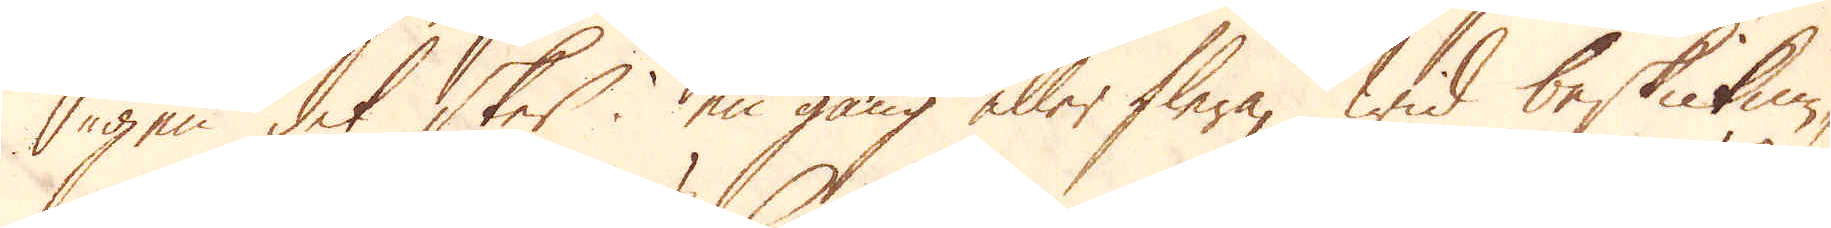gen det sker i en gång eller flera, wid beskicknin-
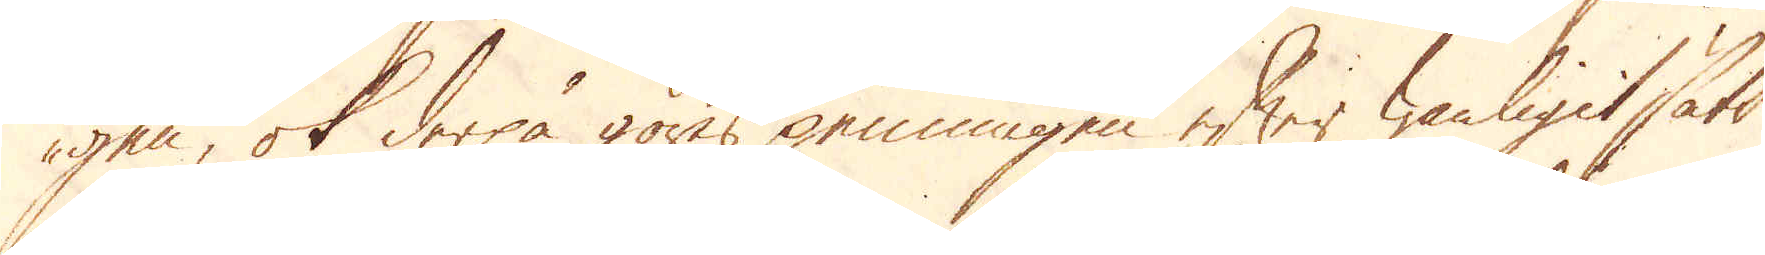gen, ok derpå göres penningen efter wanligit sätt
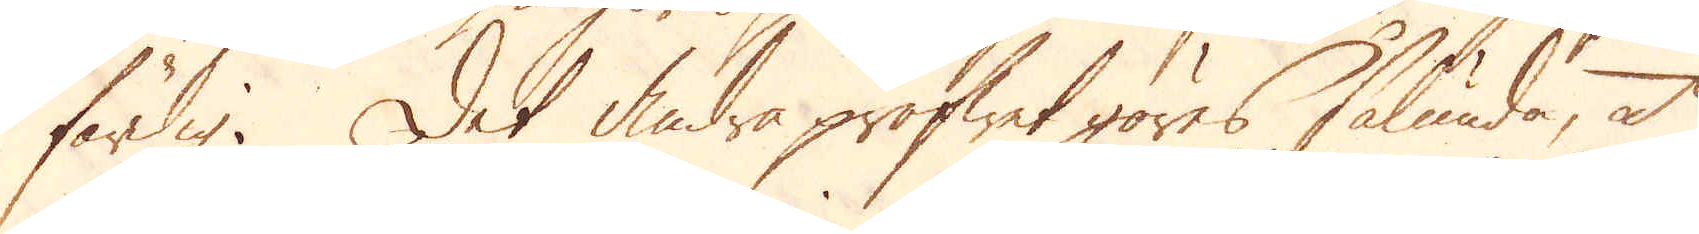färdig. Det andra profwet göres sålunda, at
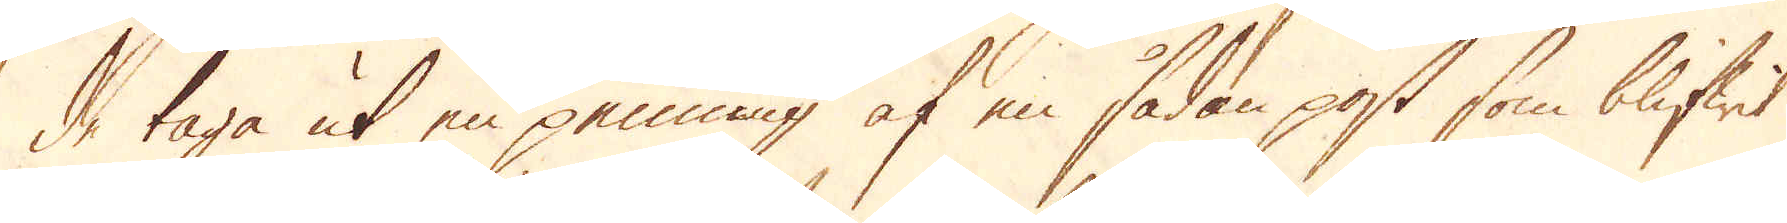de taga ut en penning af en sådan post som blifwit
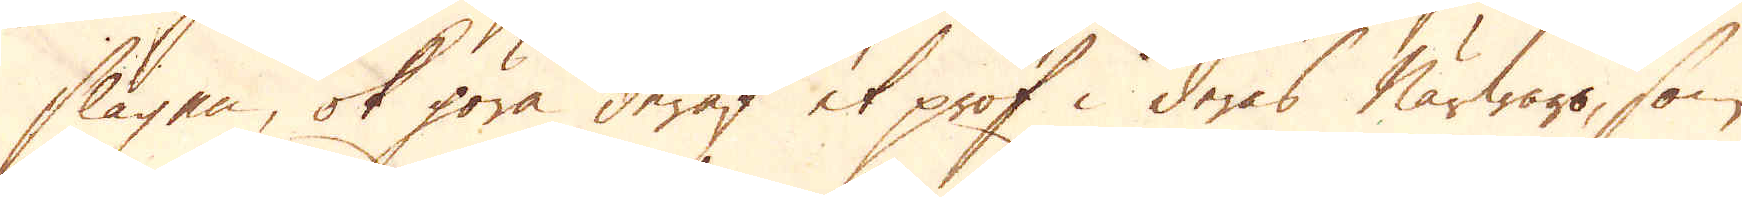slagen, ok göra deraf et prof i deras närwaro, som
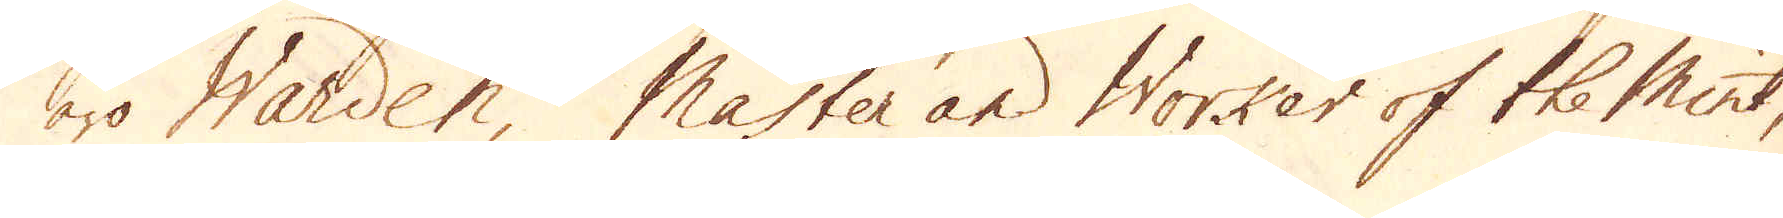äro Warden, Master and Worker of the Mint,
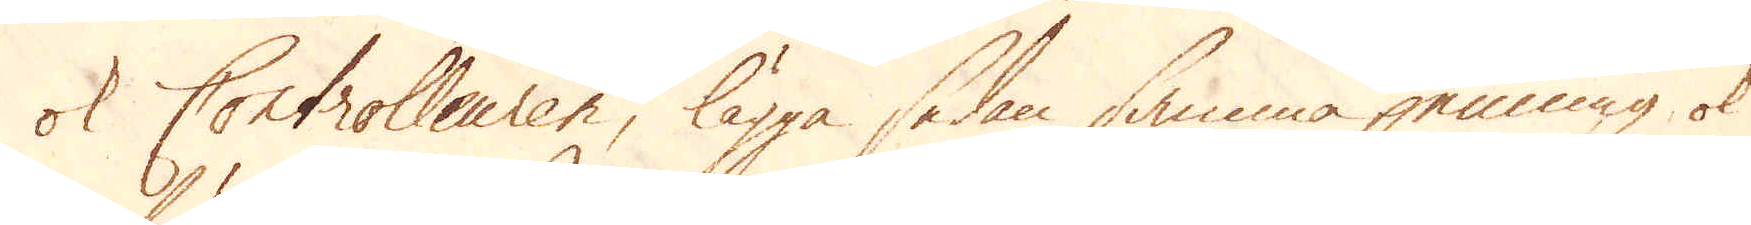ok Controlleuren, lägga sedan samma penning ok
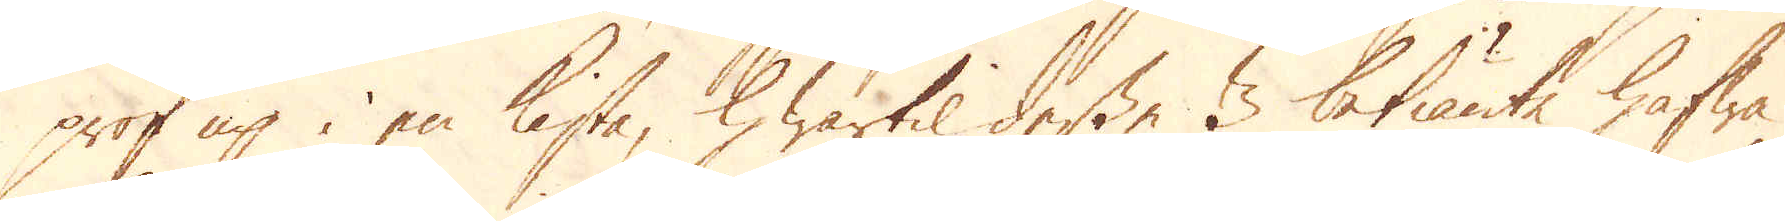prof up i en kista, hwartil desse 3 betiänte hafwa
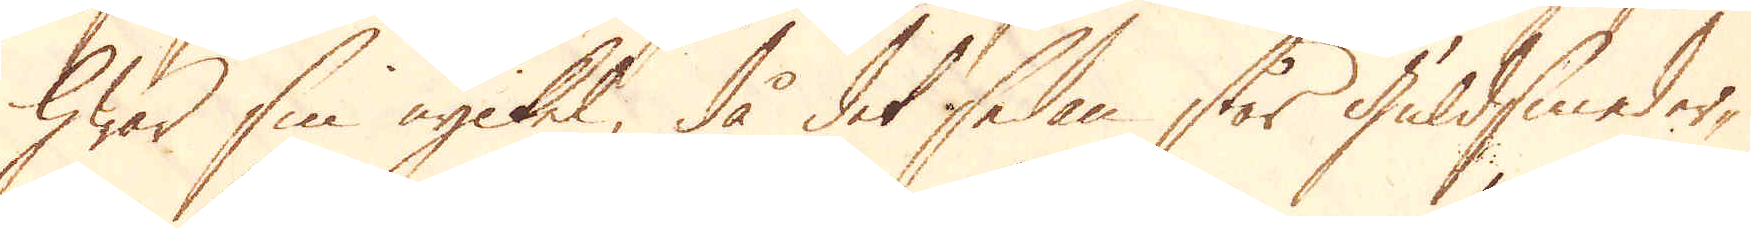hwar sin nyckel, då det sedan står guldsmeder-
